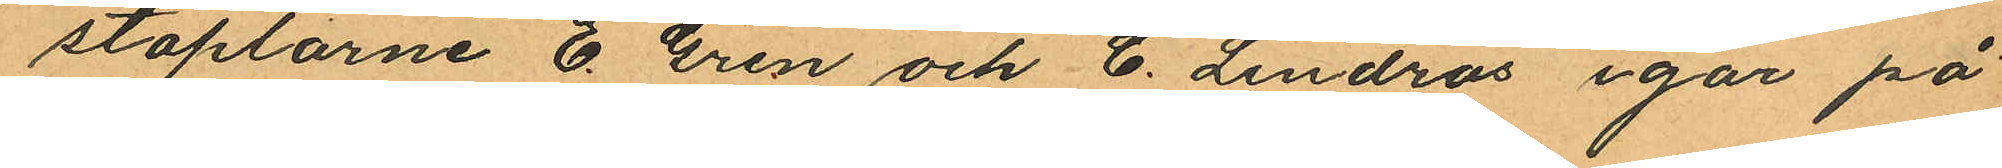staplarne E. Gren och C. Lindros igår på
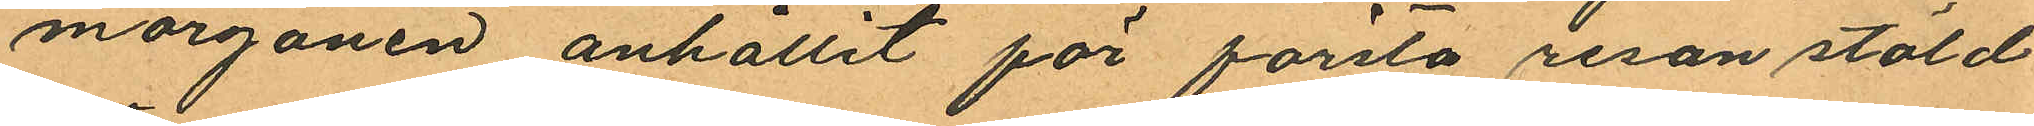morgonen anhållit för första resan stöld
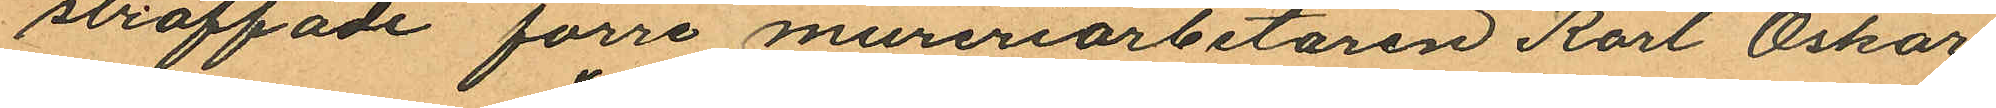straffade förre mureriarbetaren Karl Oskar
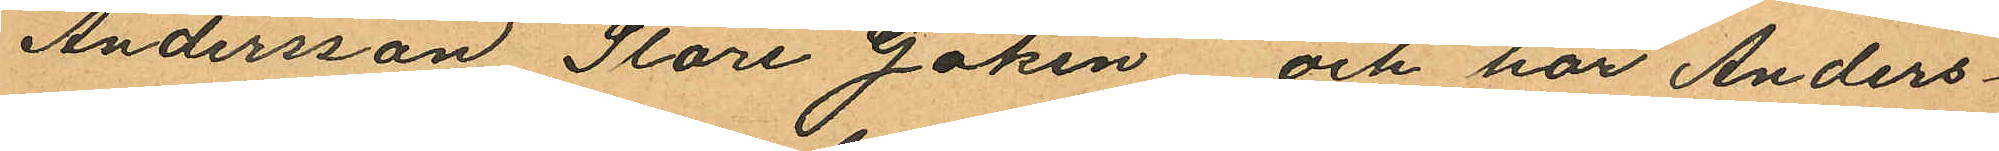Andersson "Store Göken", och har Anders¬
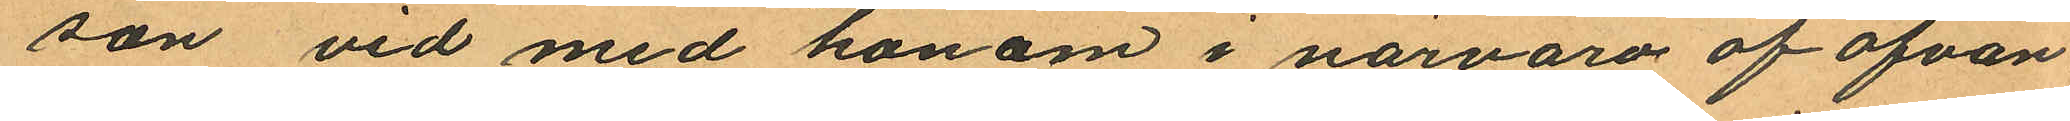son vid med honom i närvaro af ofvan
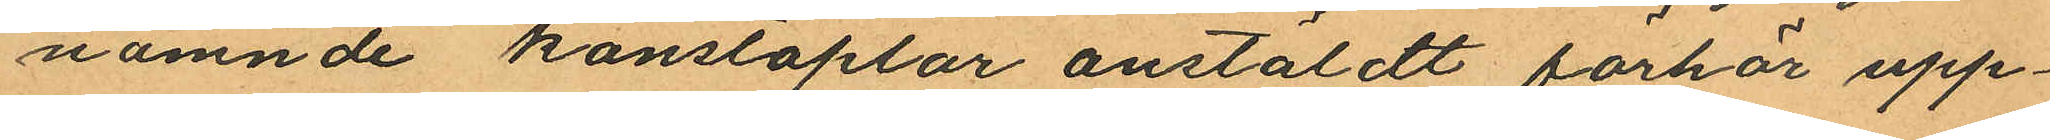nämnde konstaplar anstäldt förhör upp¬
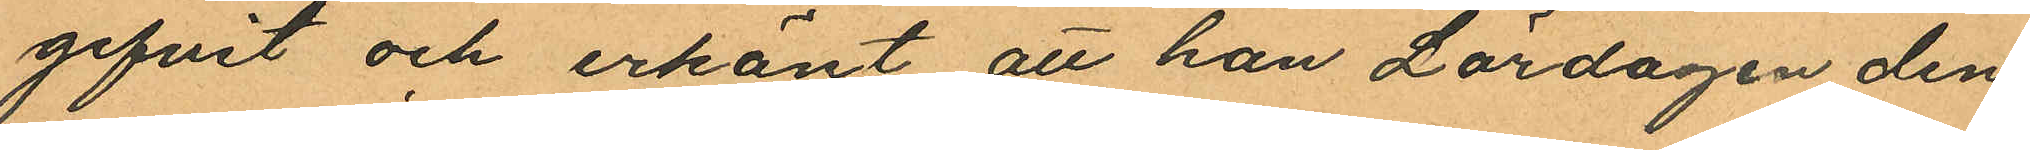gifvit och erkänt att han Lördagen den
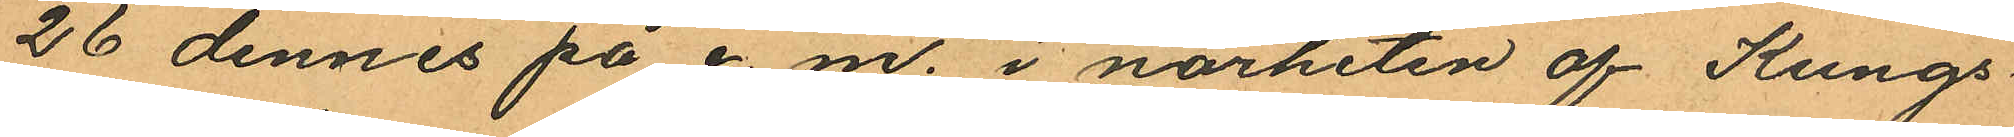26 dennes på e. m. i närheten af Kungs¬
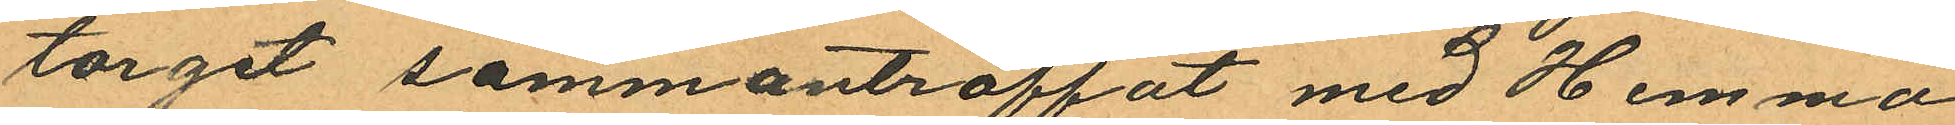torget sammanträffat med Hemma¬
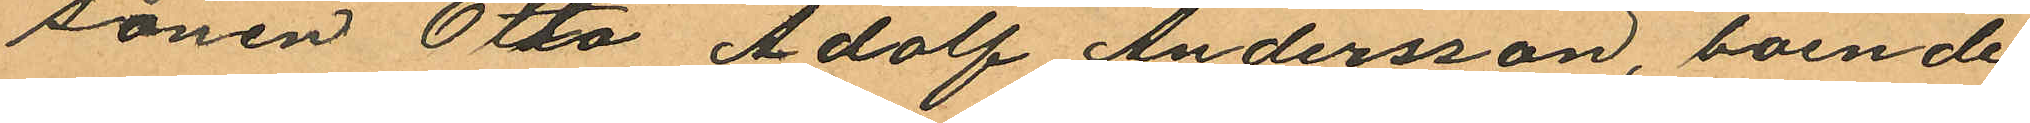sonen Otto Adolf Andersson, boende
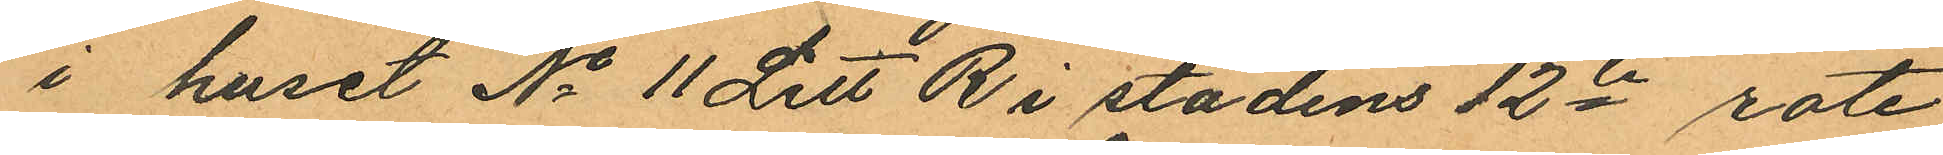i huset No 11 Litt R i stadens 12te rote
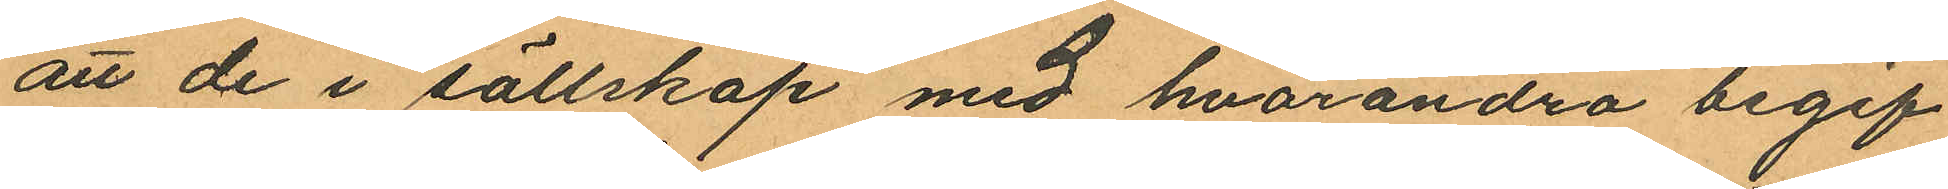att de i sällskap med hvarandra begif
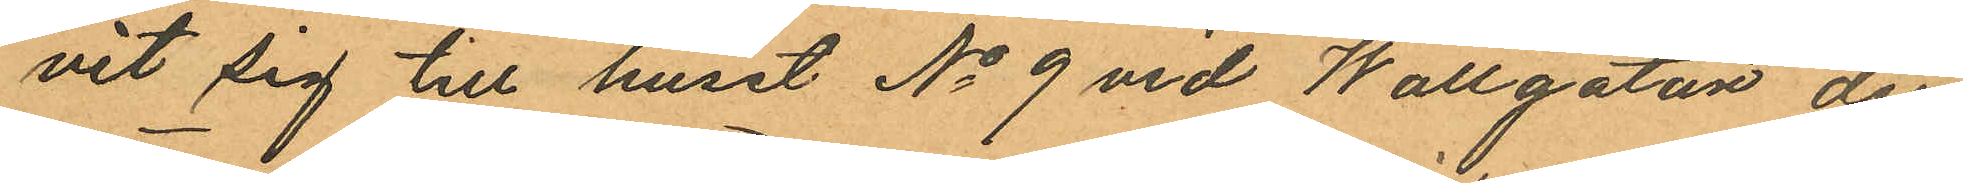vit sig till huset No 9 vid Wallgatan der
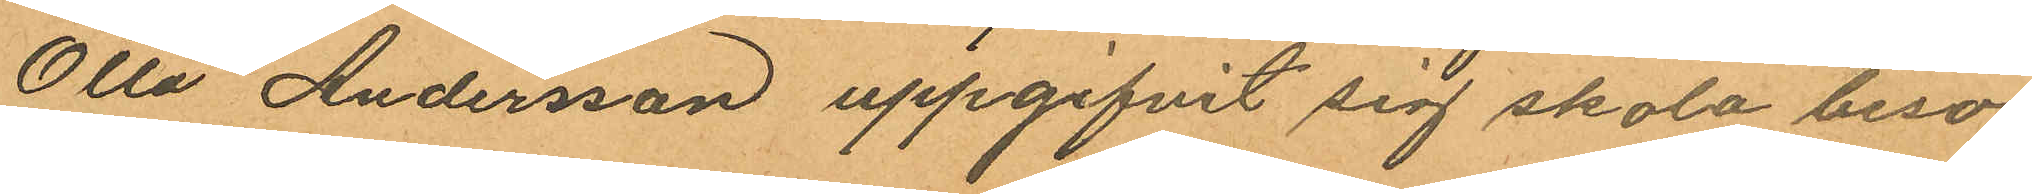Otto Andersson uppgifvit sig skola besö¬
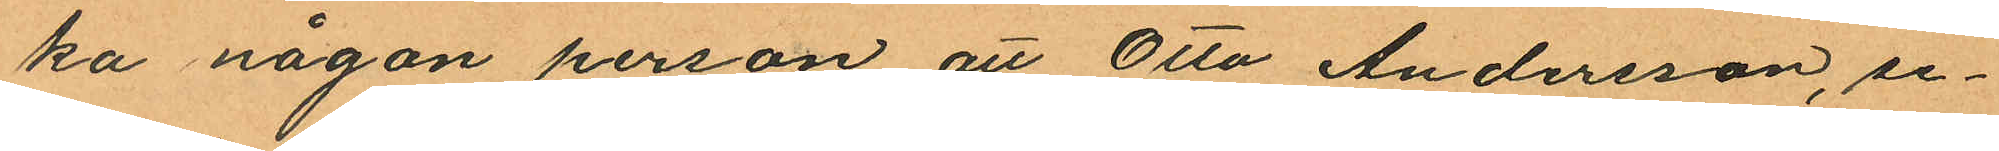ka någon person att Otto Andersson, se¬
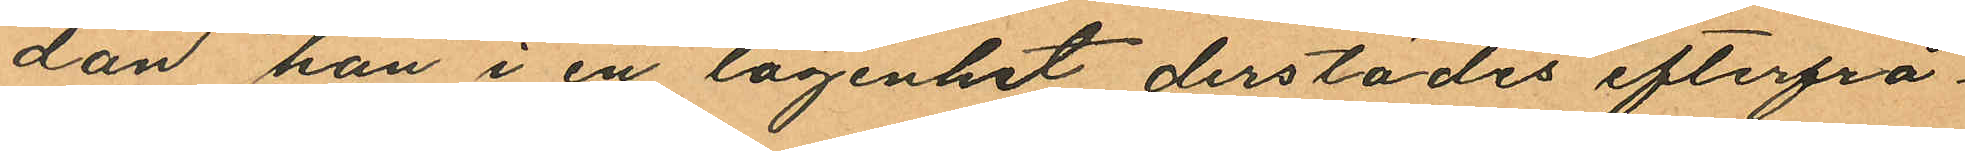dan han i en lägenhet derstädes efterfrå¬
